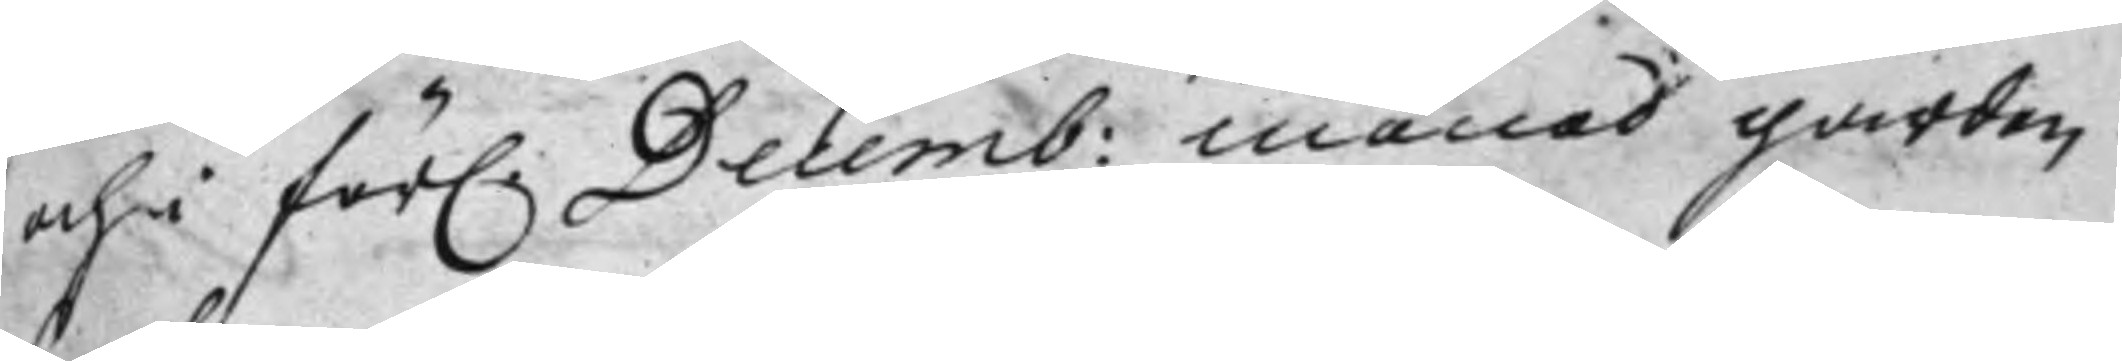och i för. Decemb: månad gården
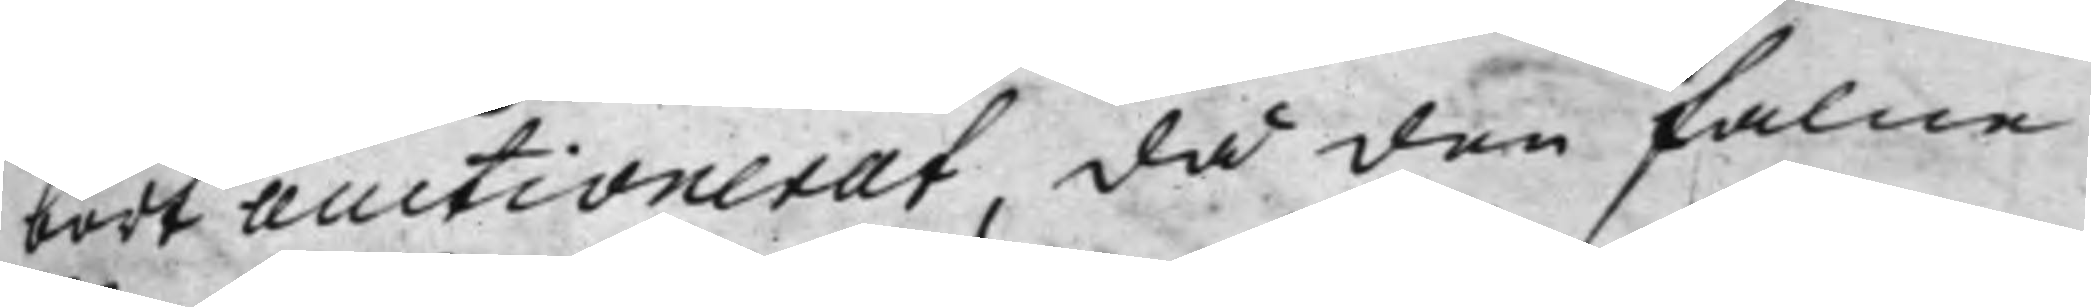bort auctionerat, då den falne
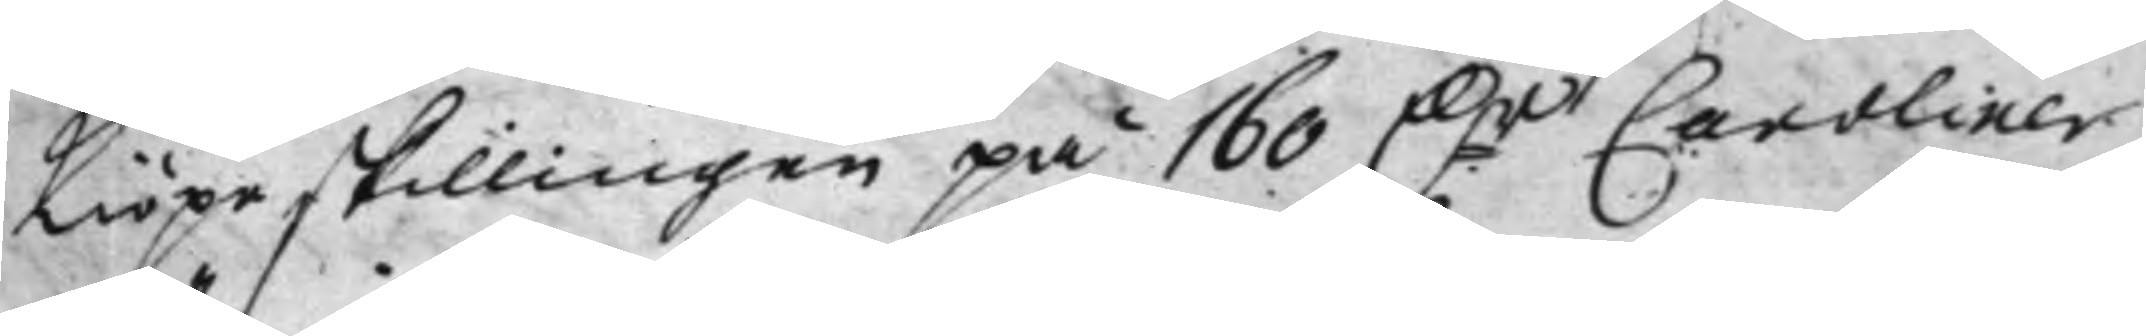Kiöpeskillingen på 160 D:r Caroliner
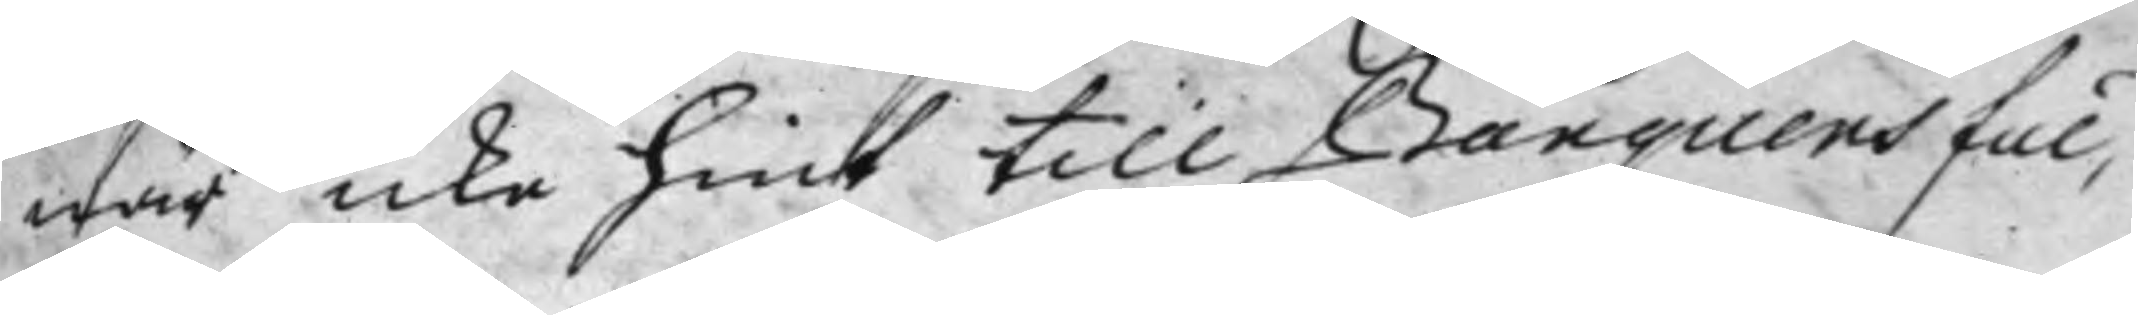när icke hiet till Banquens ful¬
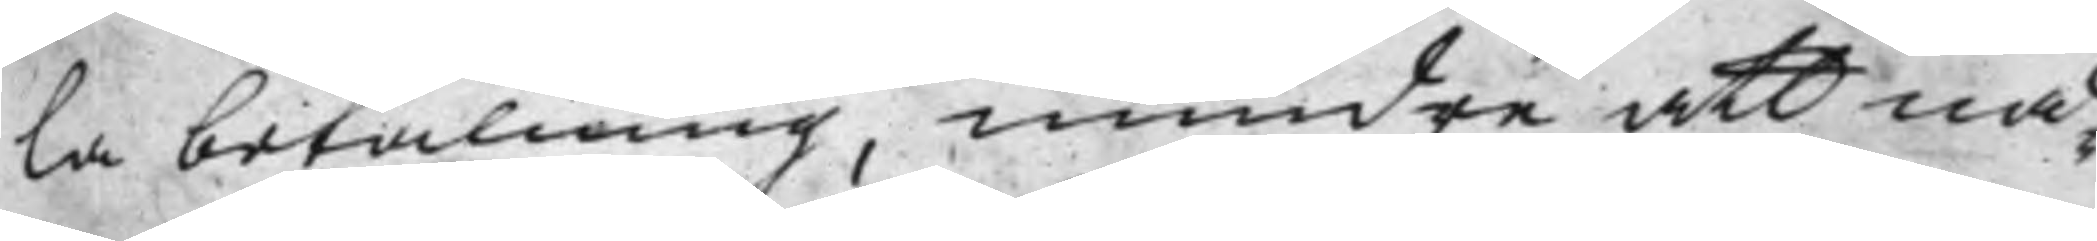la betalning, mindre att nå¬
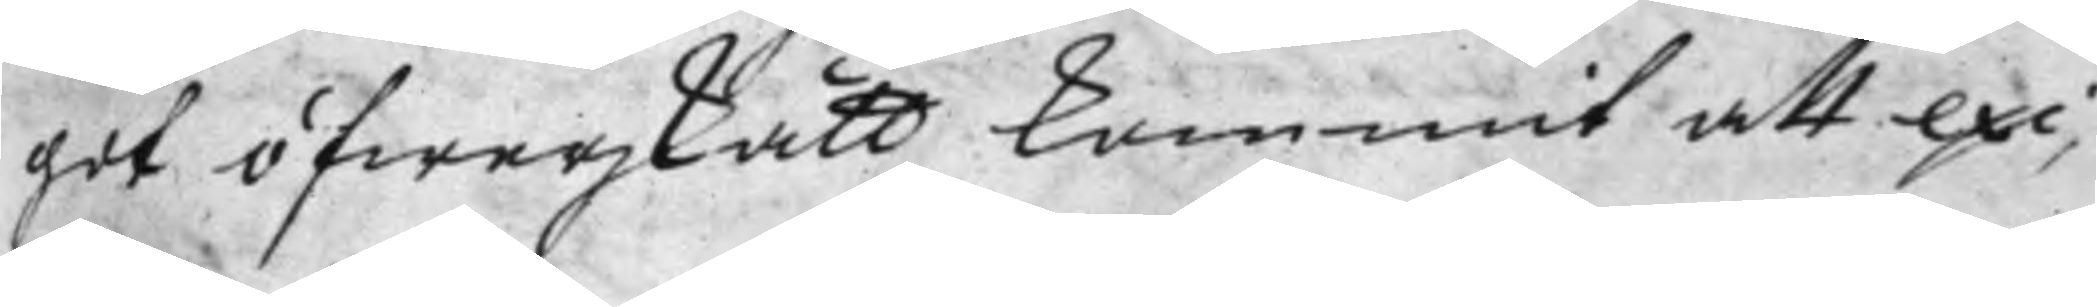got öfwerskått kommit att exi¬
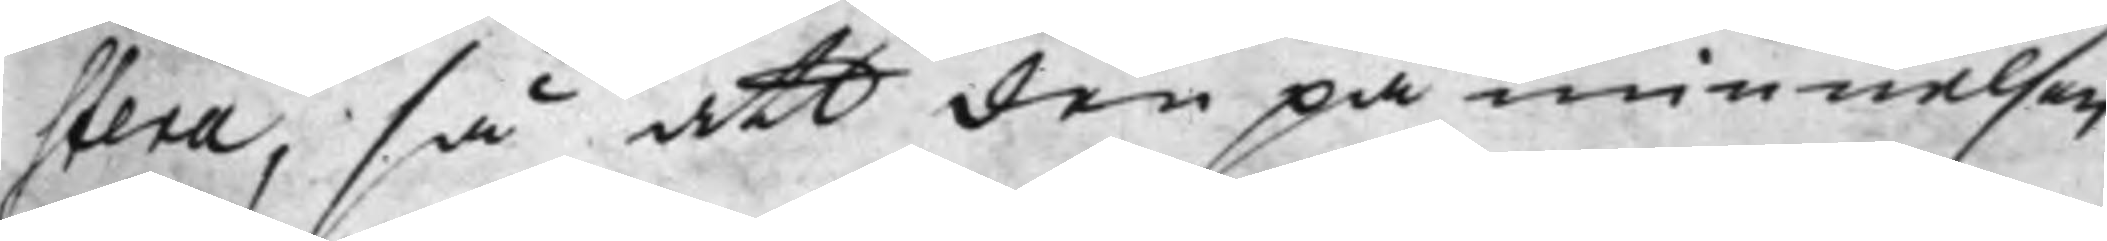stera, så att den påminnelsen
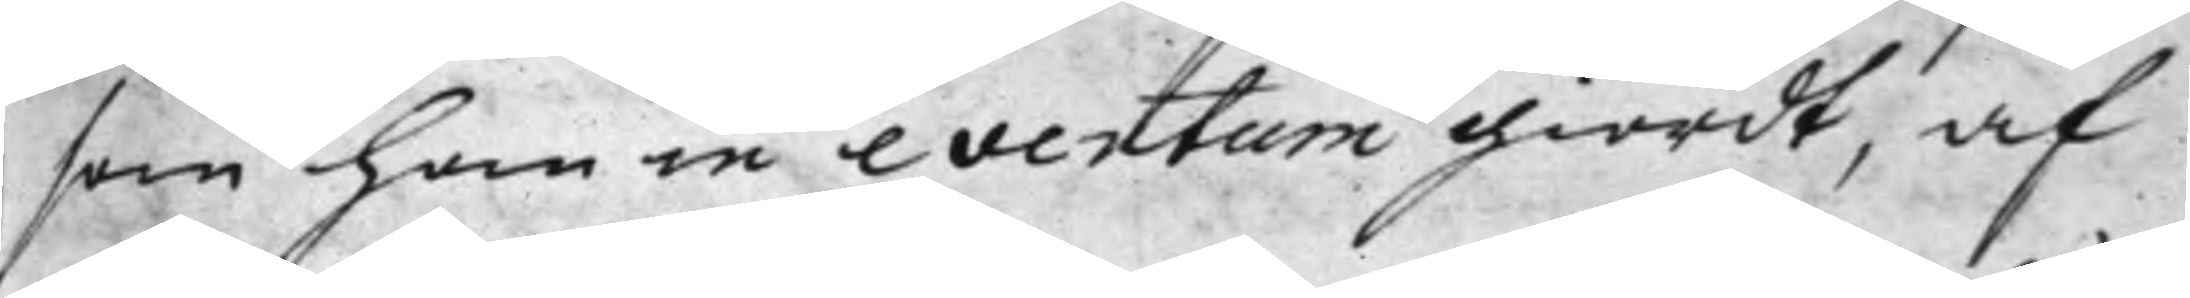som han in eventum giordt, af
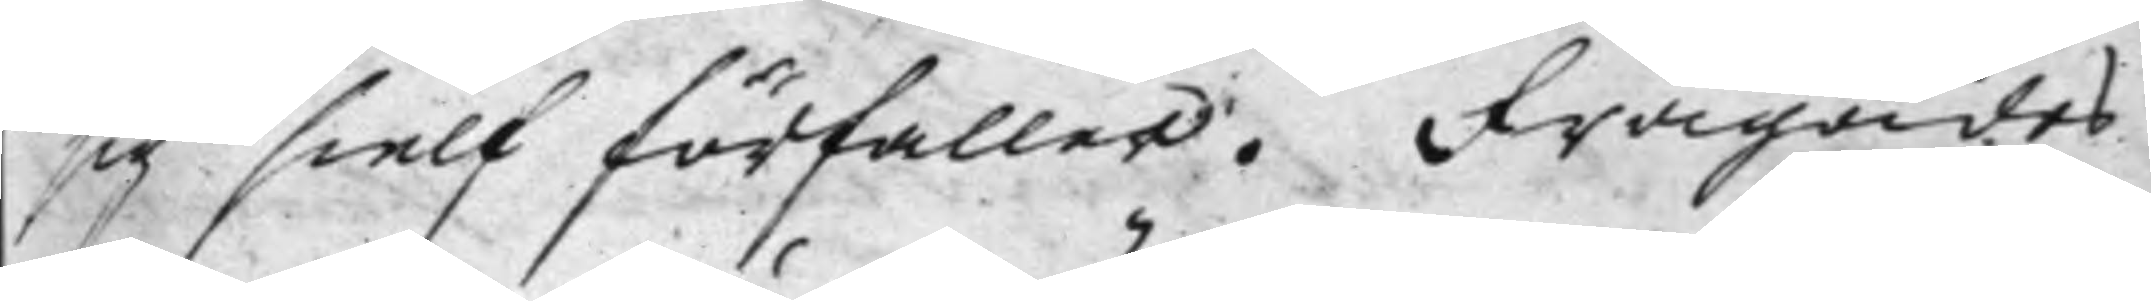sig sielf förfaller. Frågades
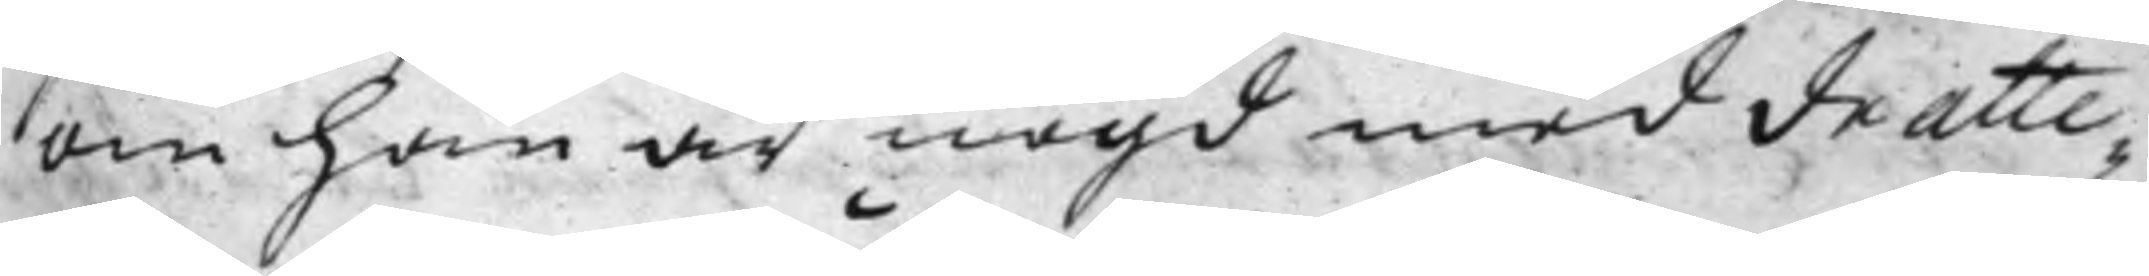om han är nögd med de atte¬
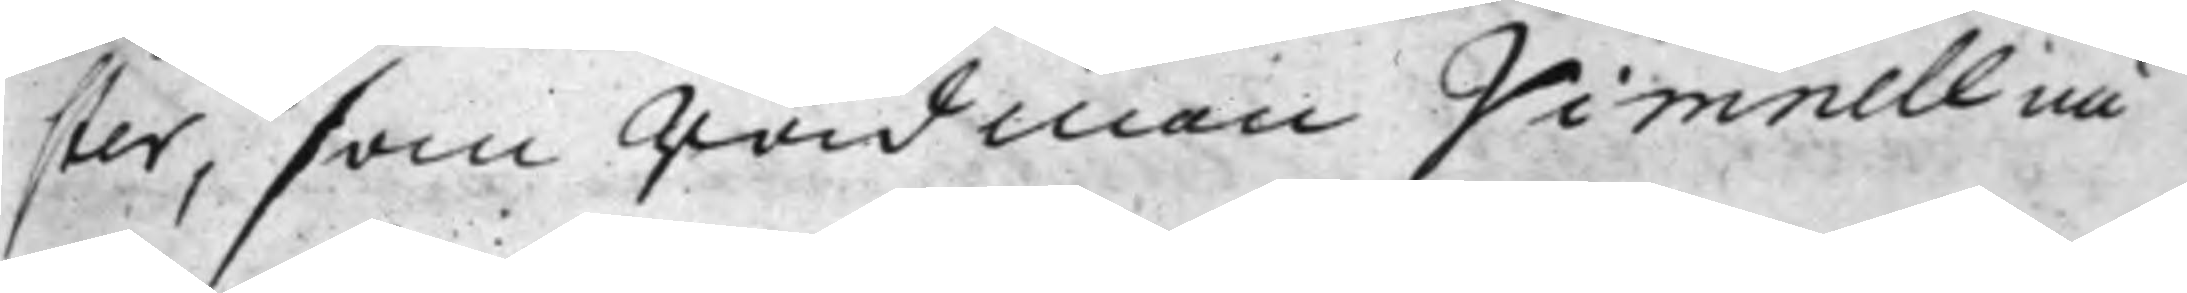ster, som Rådman Vimnell nu
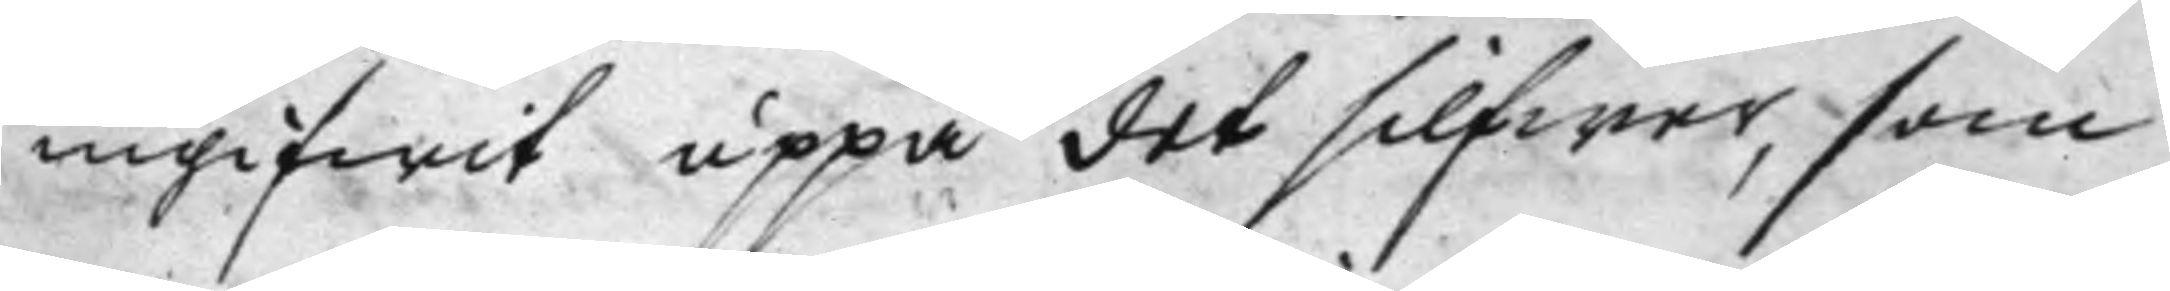ingifwit uppå det silfwer, som
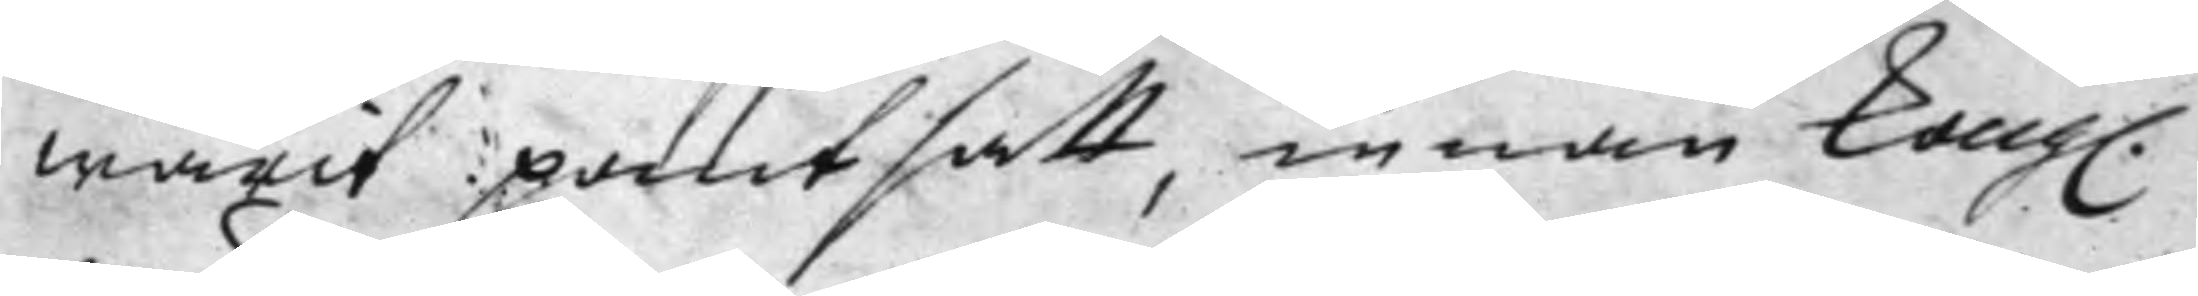warit pantsatt, innan Kong.
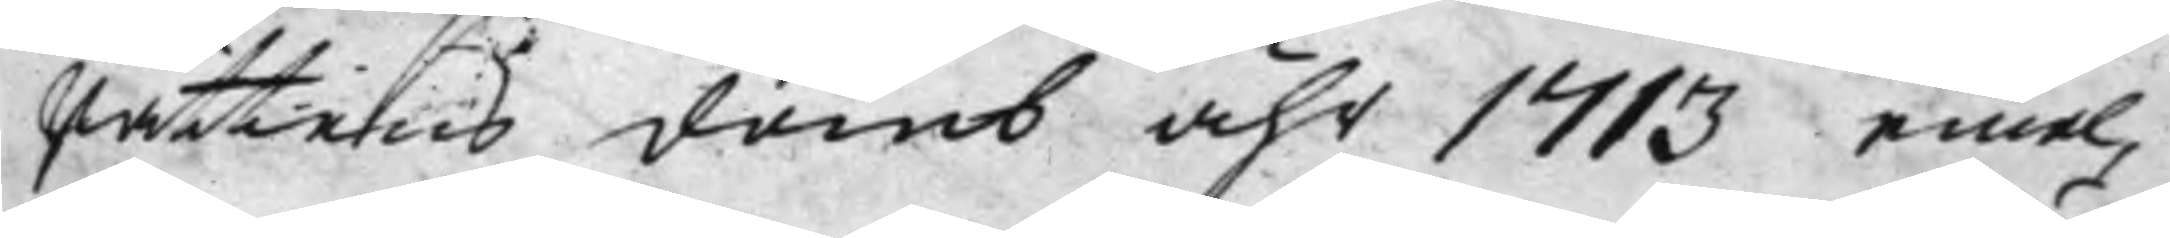Rättens domb åhr 1713 emel¬
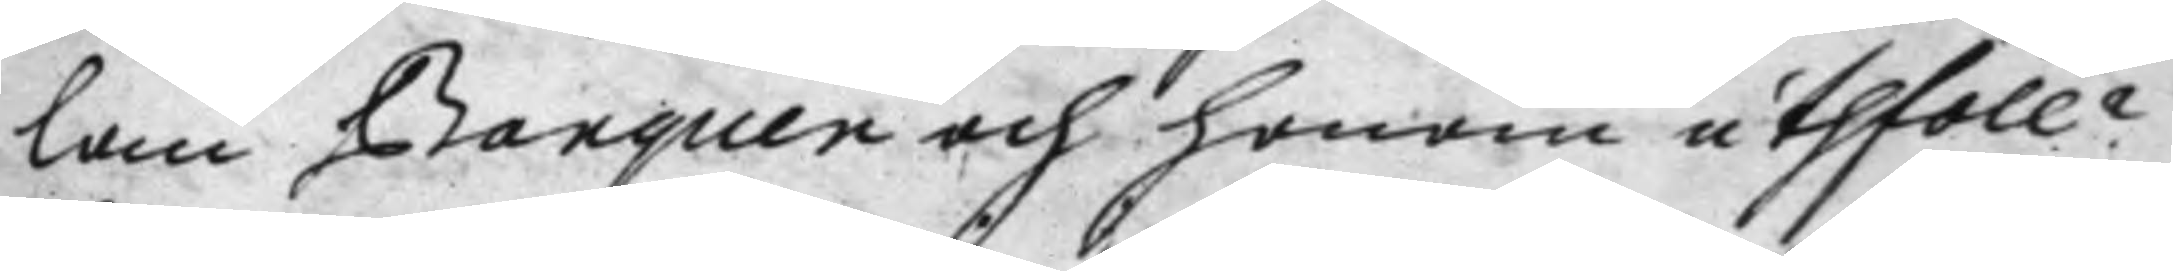lan Banquen ,och honom uthföll?
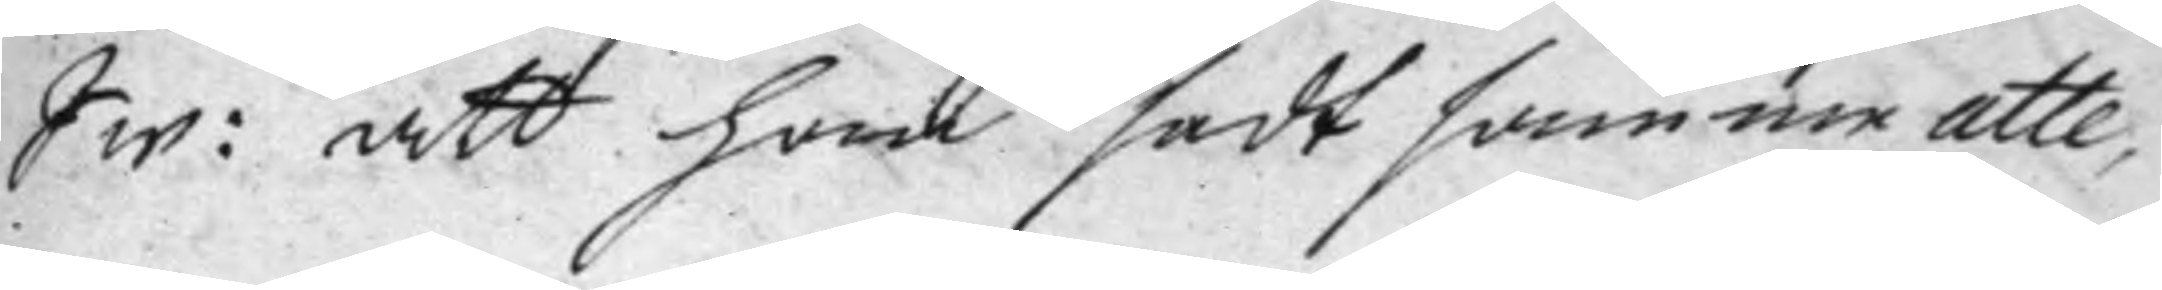Sw: att han sedt samme atte¬
